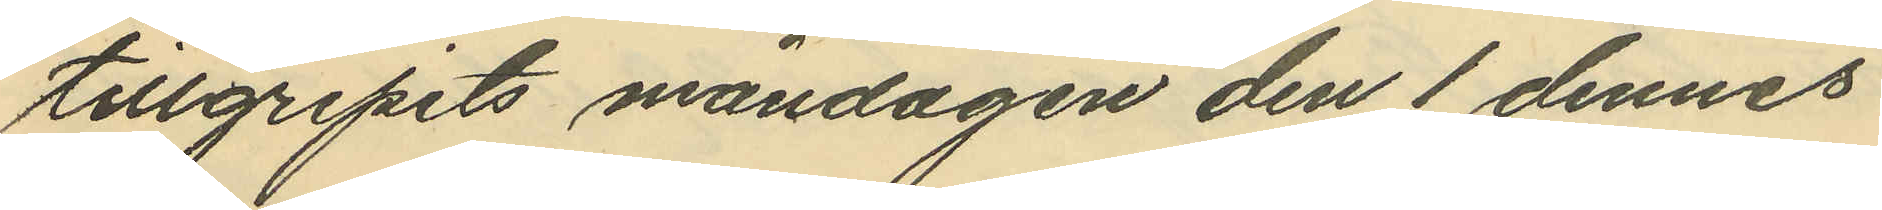tillgripits måndagen den 1 dennes
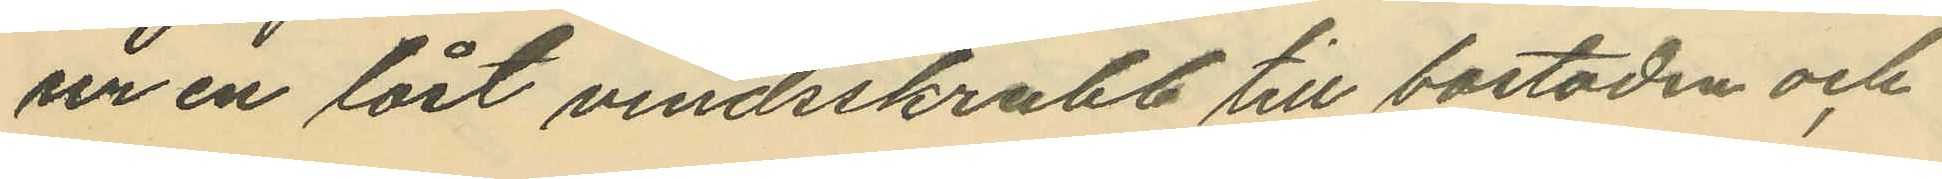ur en låst vindsskrubb till bostaden och
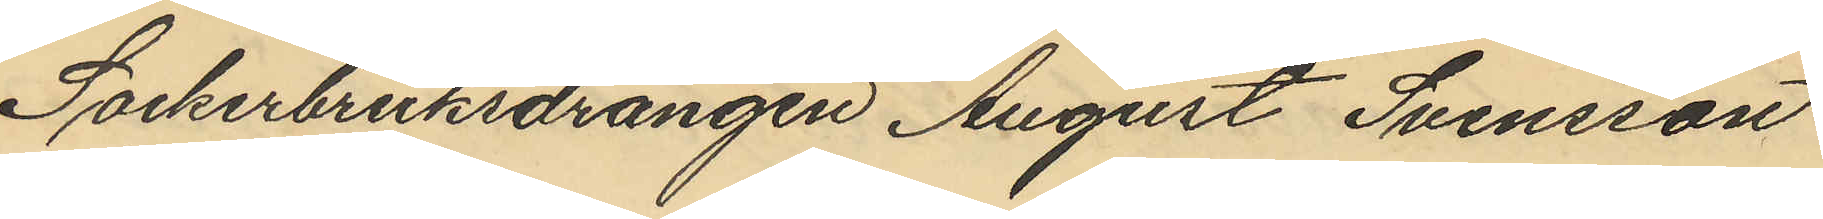Sockerbruksdrängen August Svensson
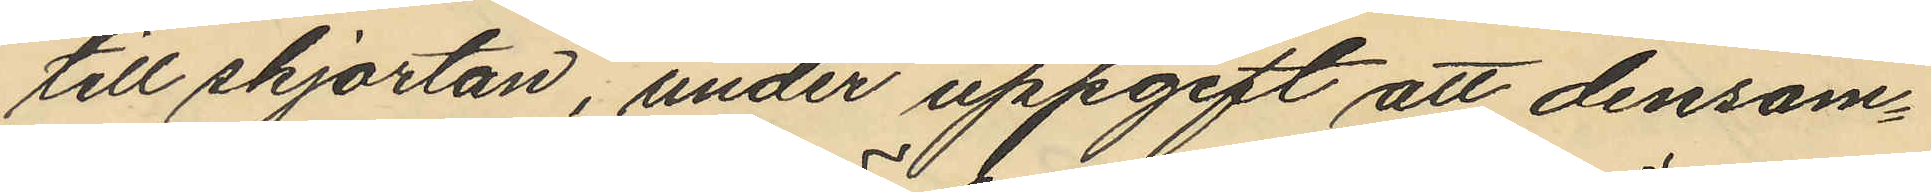till skjortan, under uppgift att densam¬
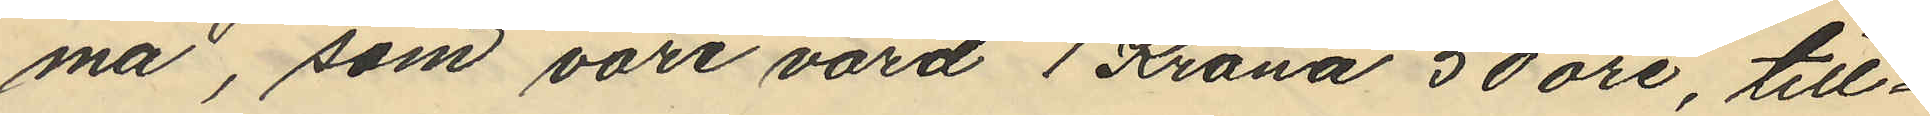ma, som vore värd 1 Krona 50 öre, till¬
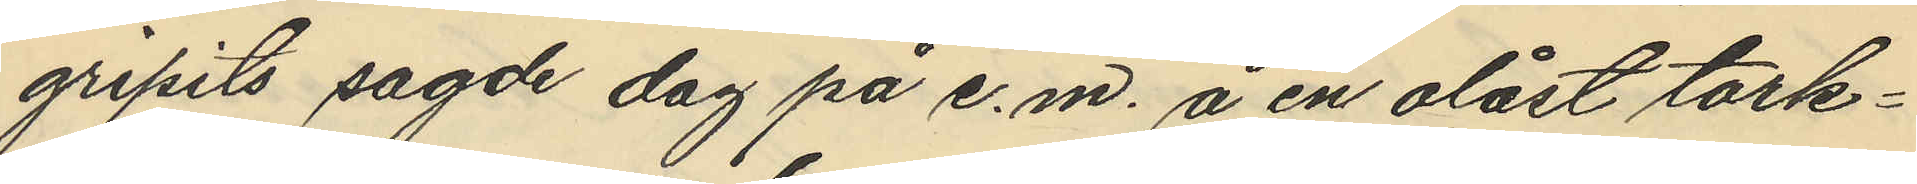gripits sagde dag på e.m. å en olåst tork¬
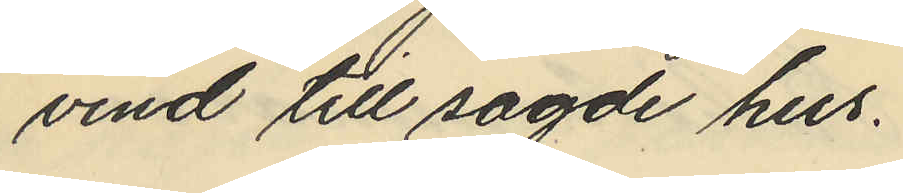vind till sagde hus.
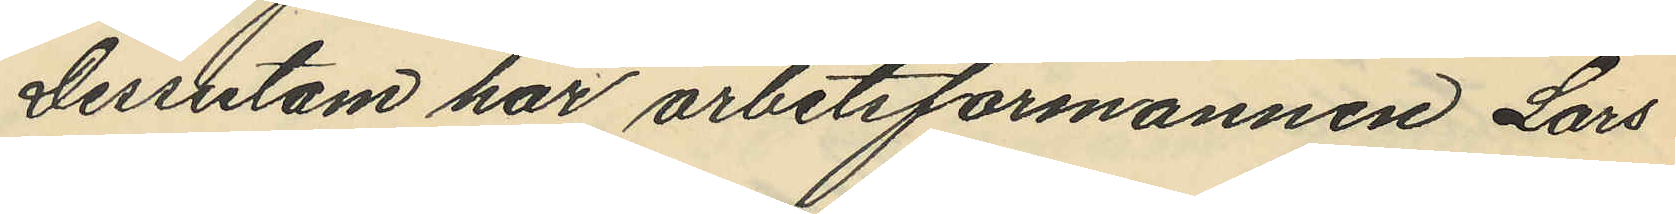Dessutom har arbetsförmannen Lars
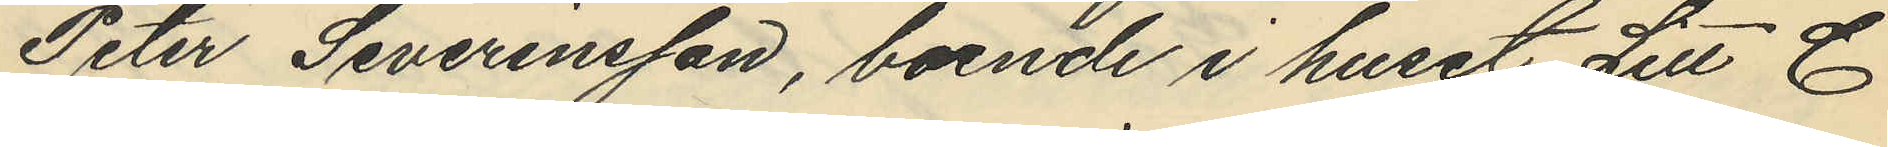Peter Severinsson, boende i huset Litt C
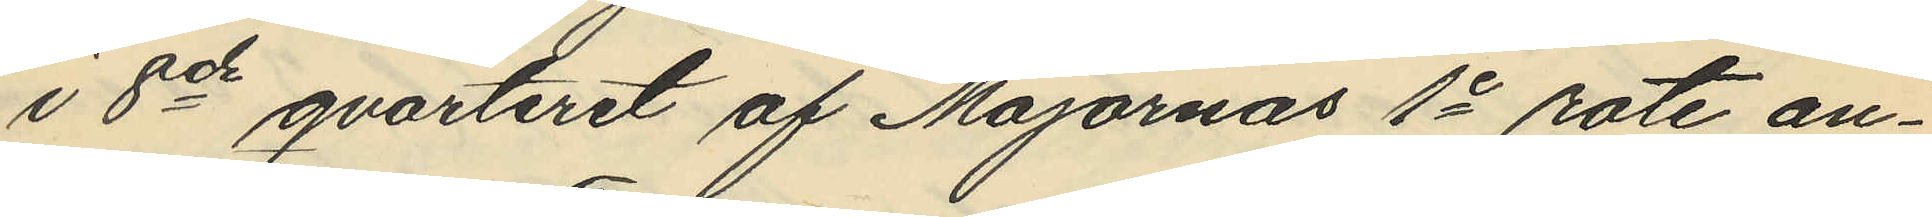i 8de qvarteret af Majornas 1e rote an¬
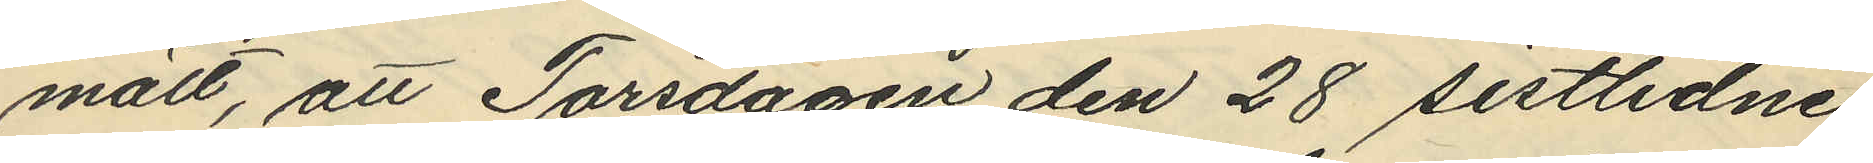mält, att Torsdagen den 28 sistlidne
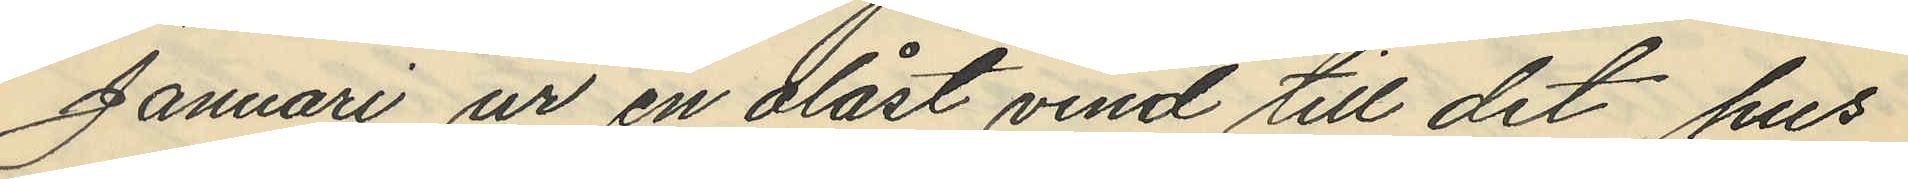Januari ur en olåst vind till det hus
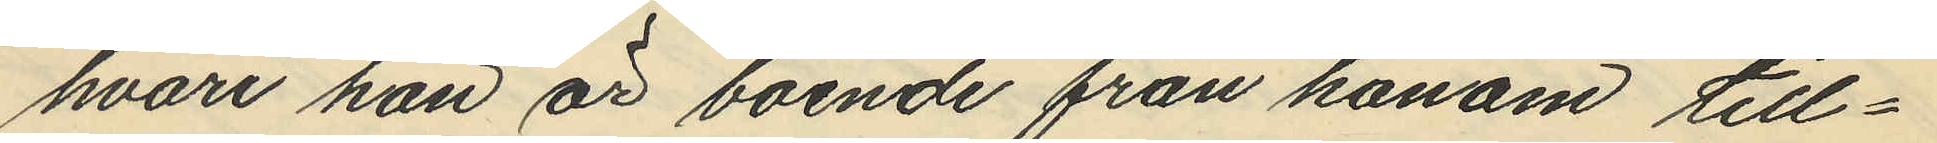hvari han är boende från honom till¬
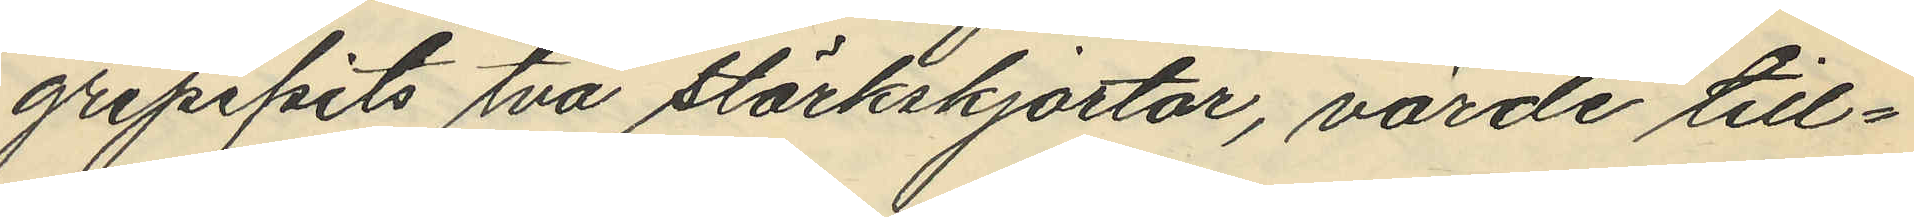gripipits två stärkskjortor, värde till¬
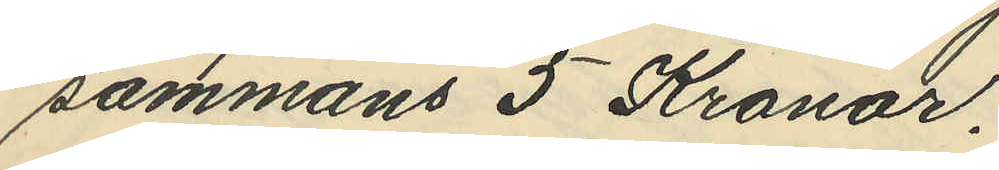sammans 5 Kronor.
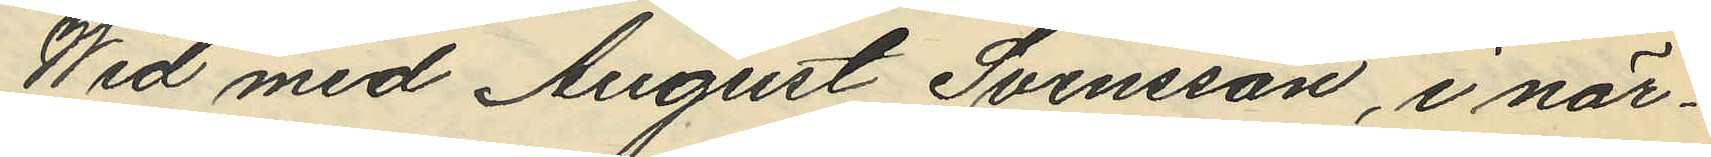Wid med August Svensson, i när¬
